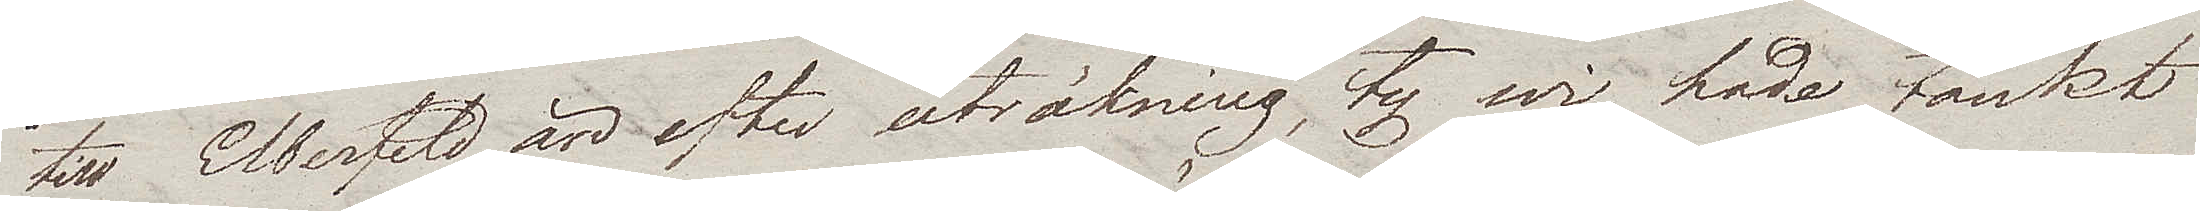till Elberfeld än efter uträkning, ty wi hade tänkt
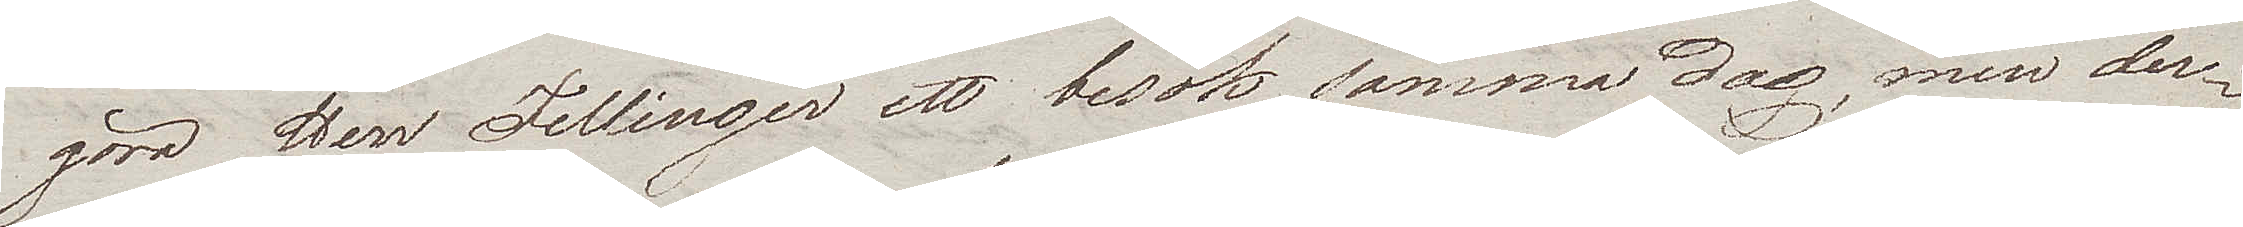göra Herr Fellinger ett besök samma dag, men der¬
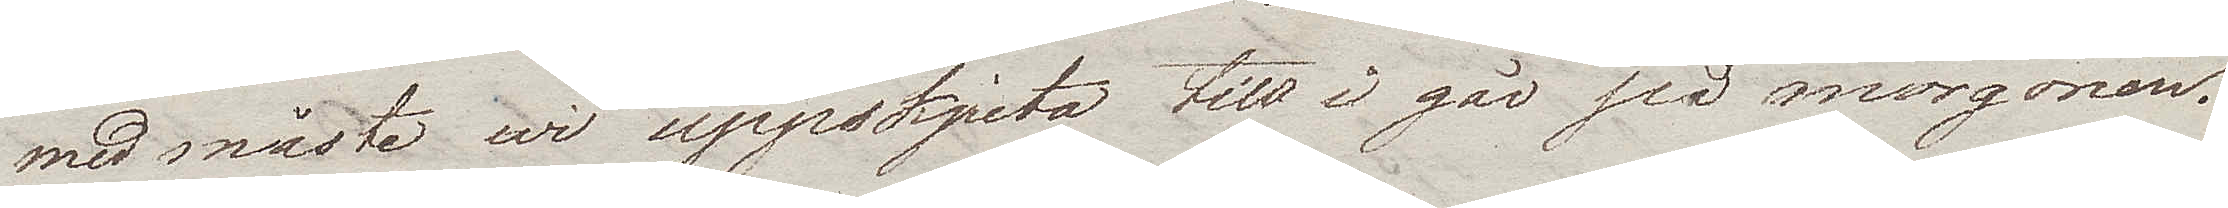med måste wi uppskjuta till i går på morgonen.
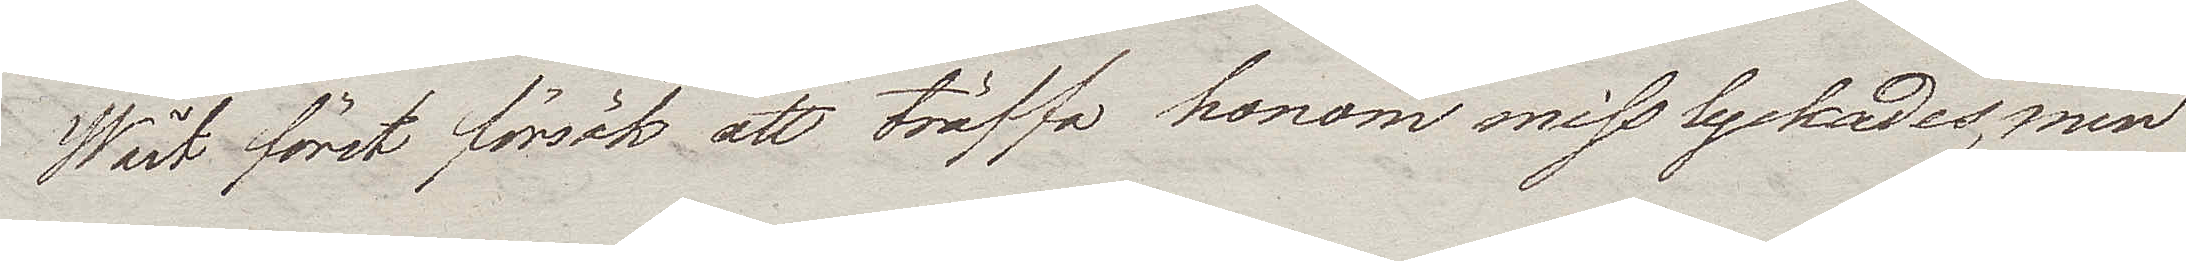Wårt första försök att träffa honom misslyckades, men
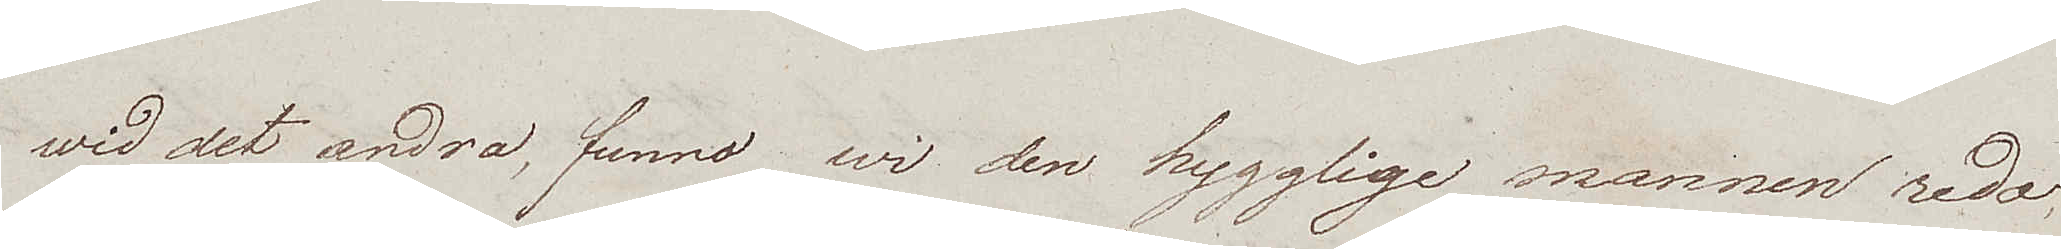wid det andra, funno wi den hygglige mannen redo,
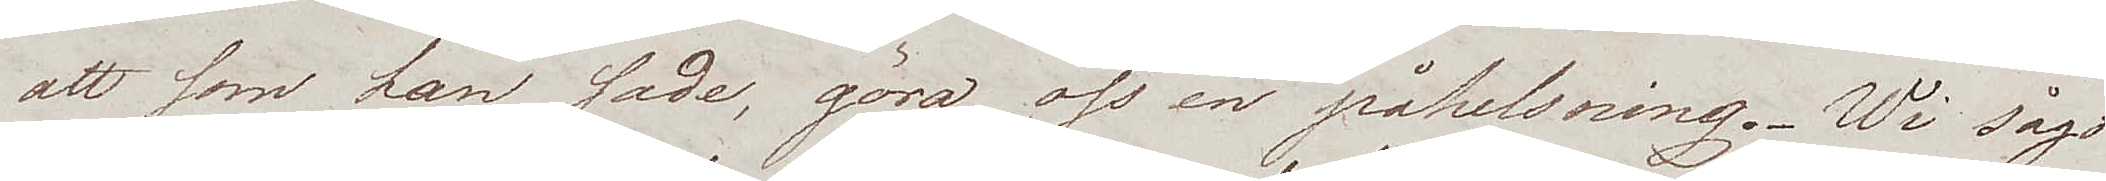att som han sade, göra oss en påhelsning. Wi sågo
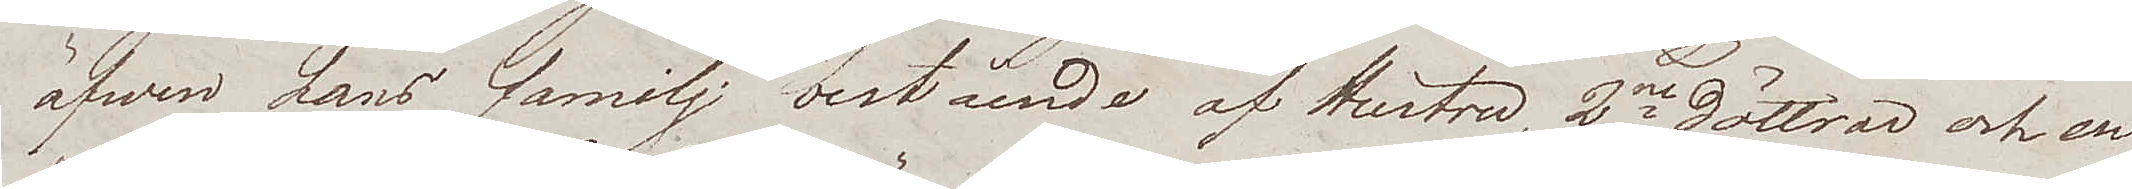äfwen hans familj bestående af Hustru, 2ne döttrar och en
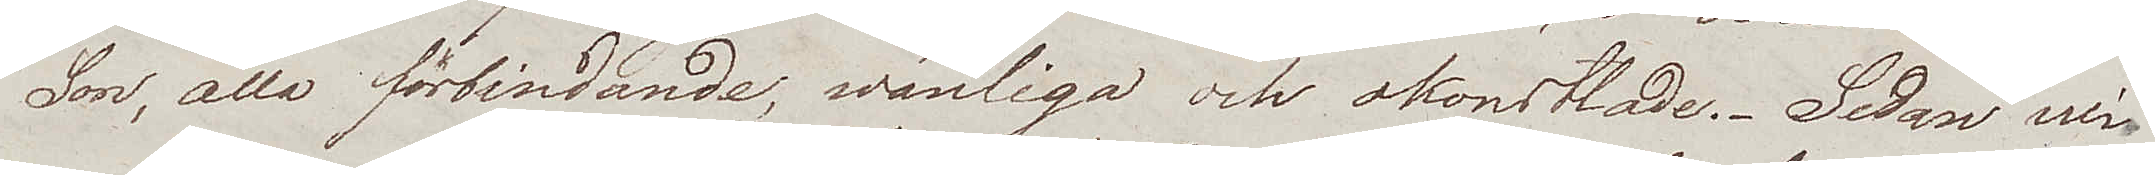Son, alla förbindande, wänliga och okonstlade. Sedan wi
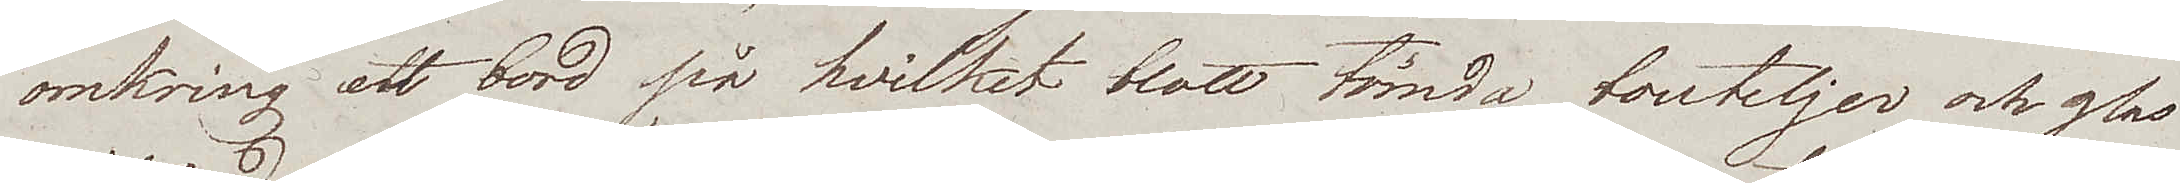omkring ett bord på hvilket blott tömda bouteljer och glas
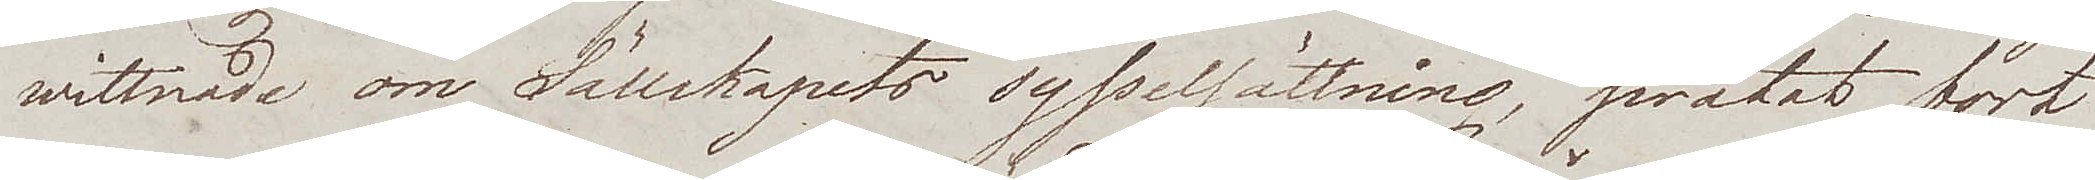wittnade om Sällskapets sysselsättning, pratat bort
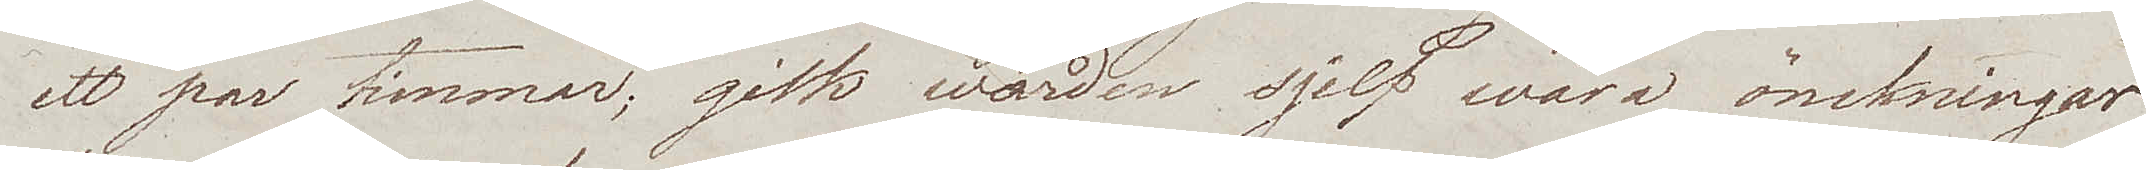ett par timmar; gick wärden sjelf wåra önskningar
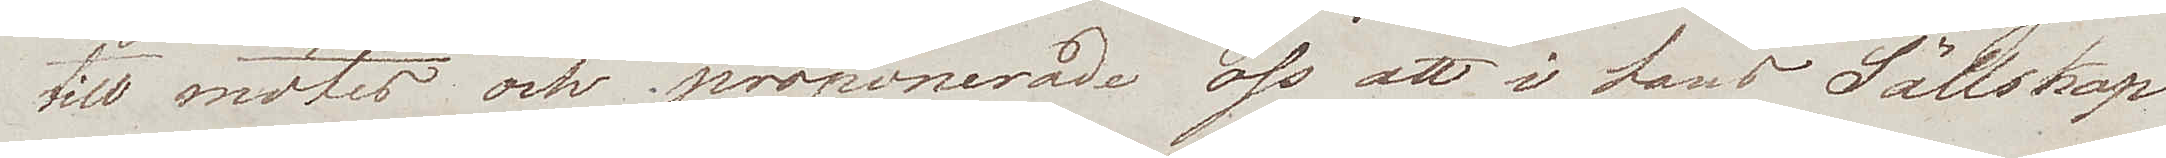till mötes och proponerade oss att i hans Sällskap
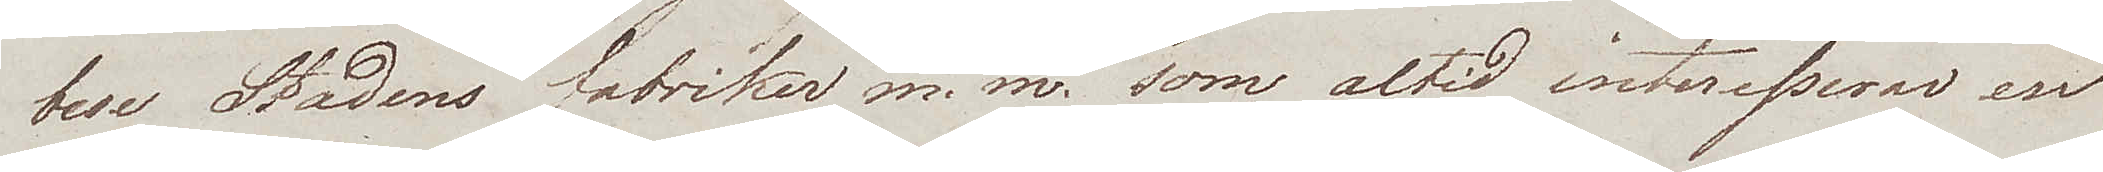bese Stadens fabriker m.m. som altid interesserar en
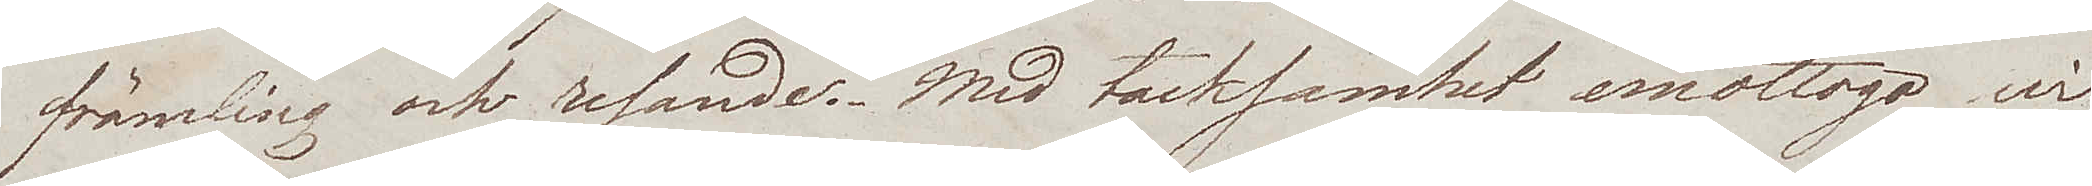främling och resande. Med tacksamhet emottogo wi
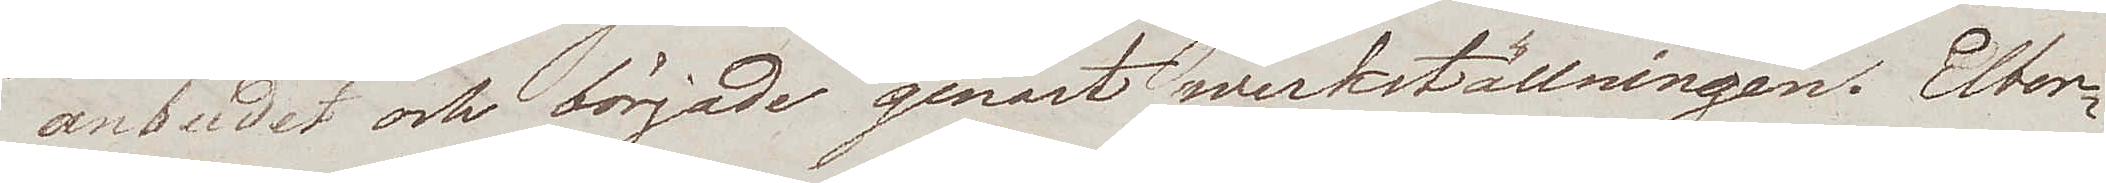anbudet och började genast werkställningen. Elber¬
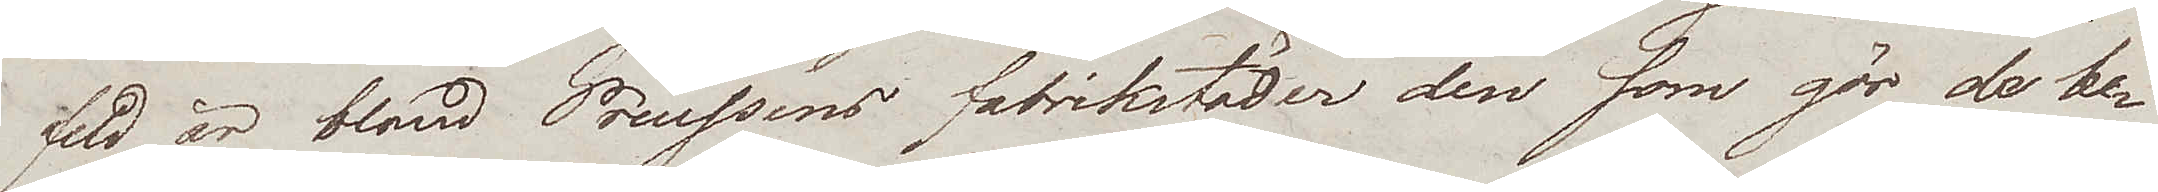feld är bland Preussens fabrikstäder den som gör de be¬
